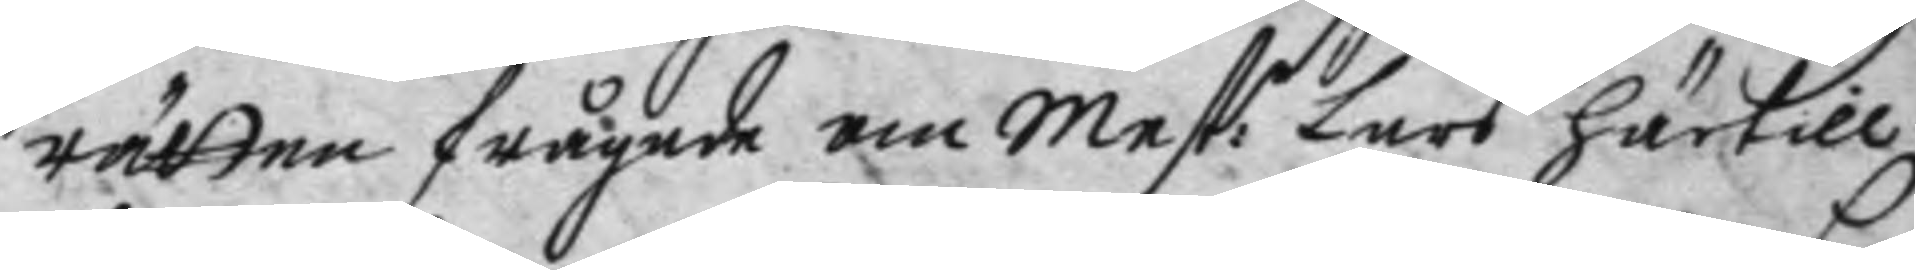rätten frågade om Mest: Lars härtill
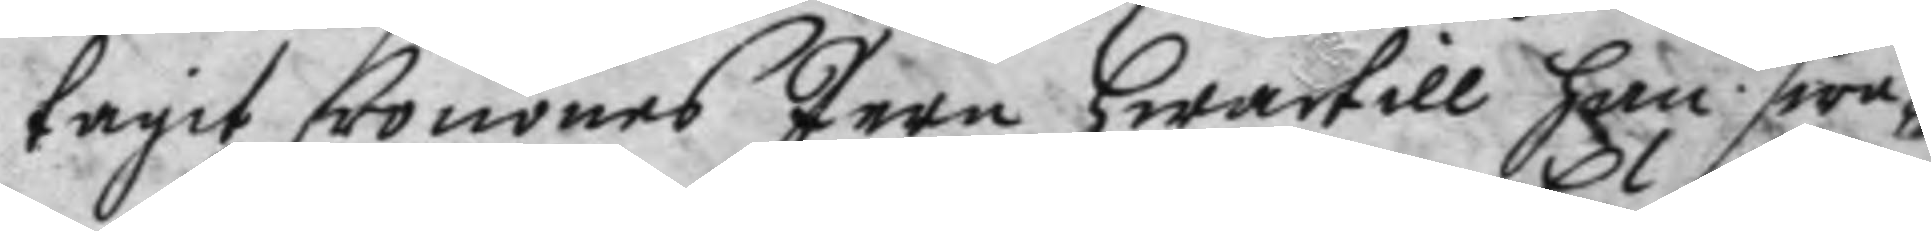tagit Cronones Jern hwartill han swa¬
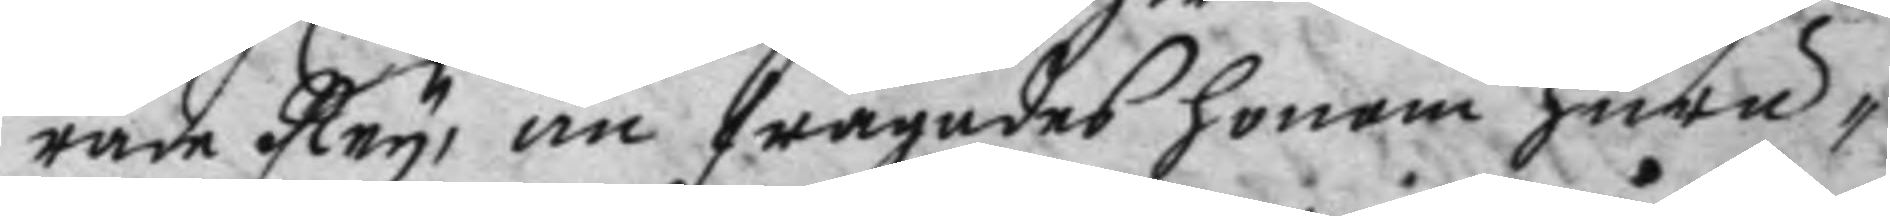rade Ney, än frågades honom huru
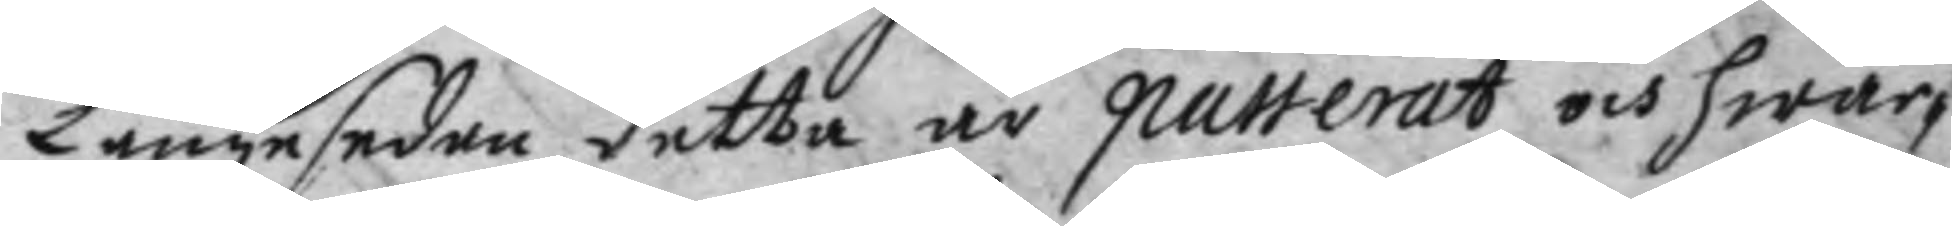Långe sedan detta är passerat och hwar¬
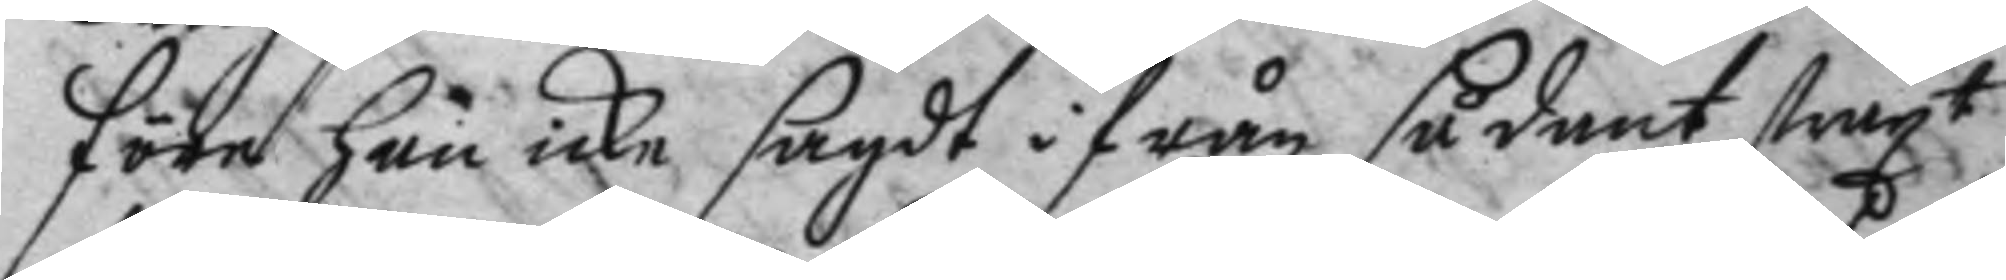före han icke sagdt i från sådant straxt
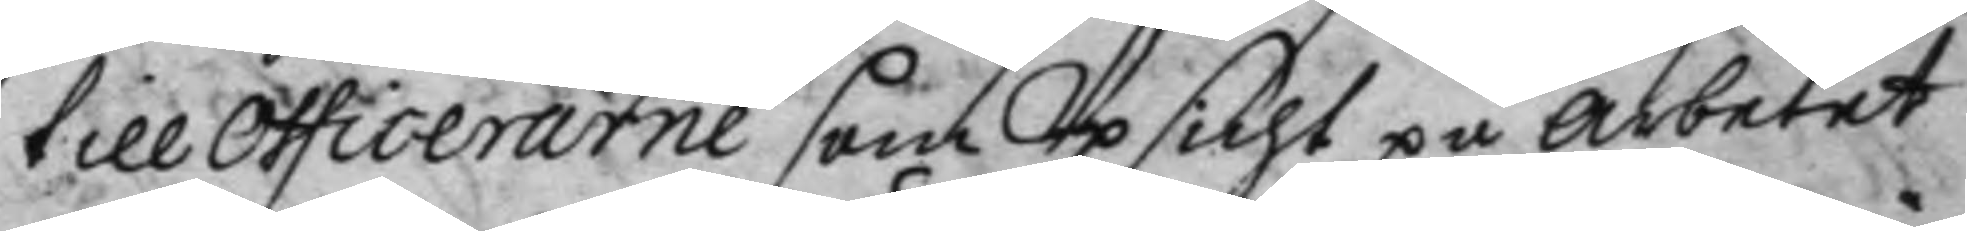till Officerarne som Upsicht på arbetet
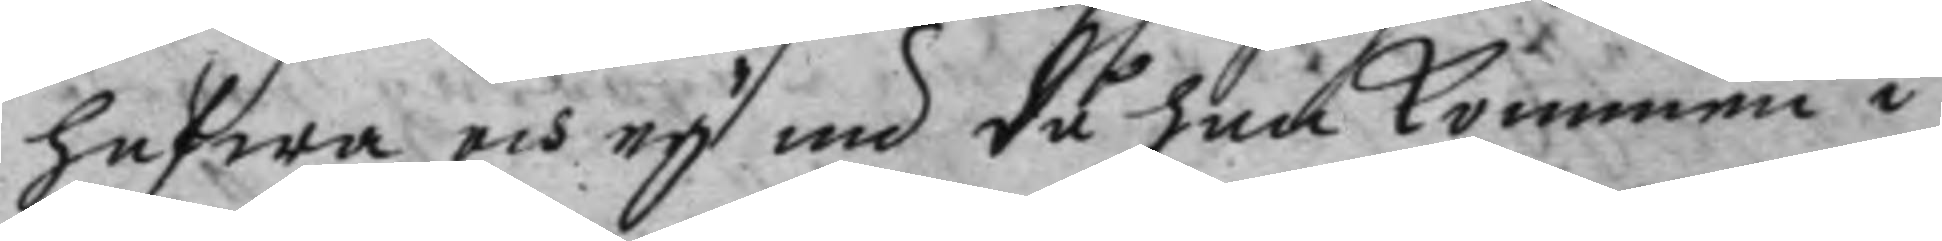hafwa och ey nu då han kommen i
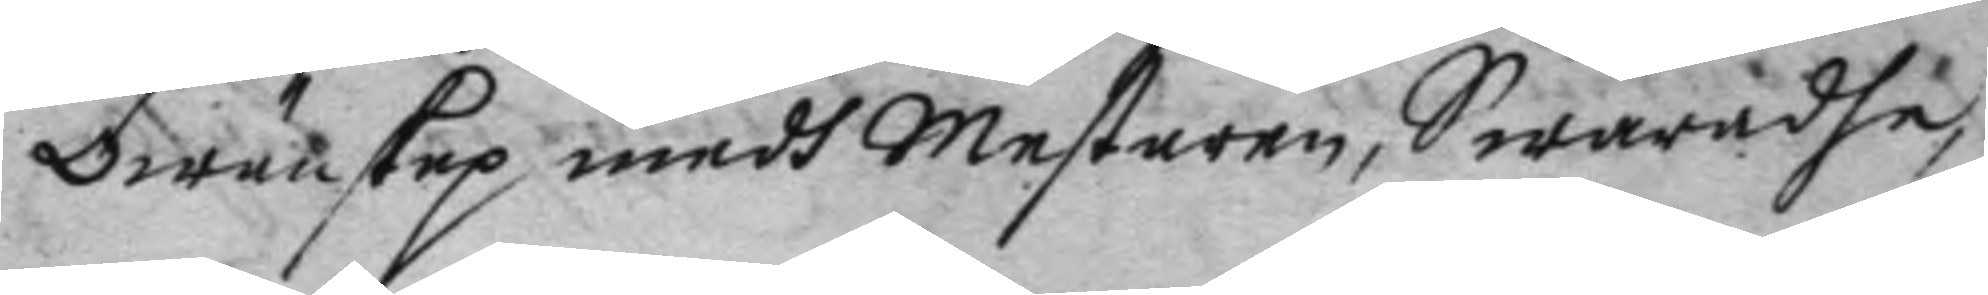owänskap medh Mesteren, Swaradhe
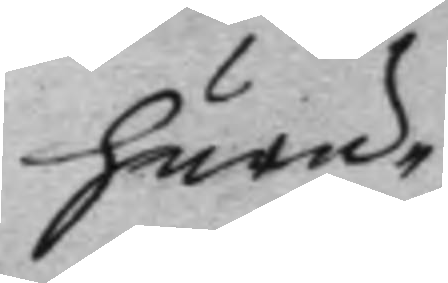huru
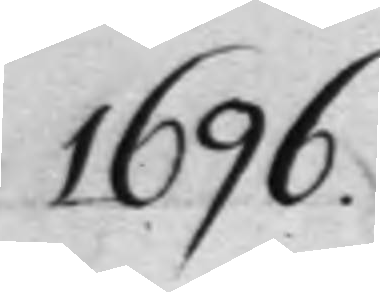1696.
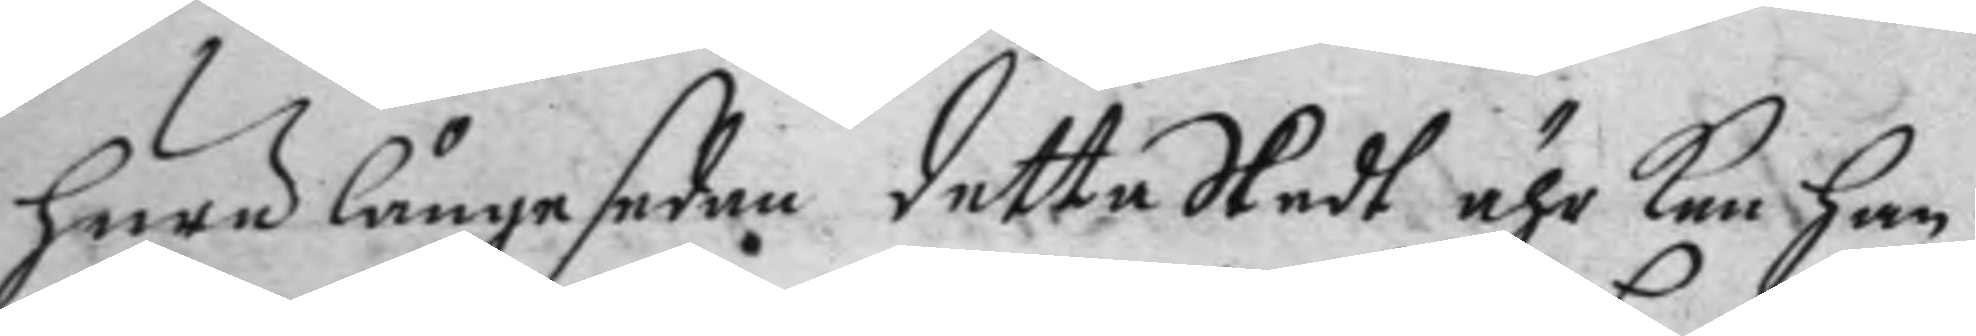huru långesedan detta Skedt ähr han han
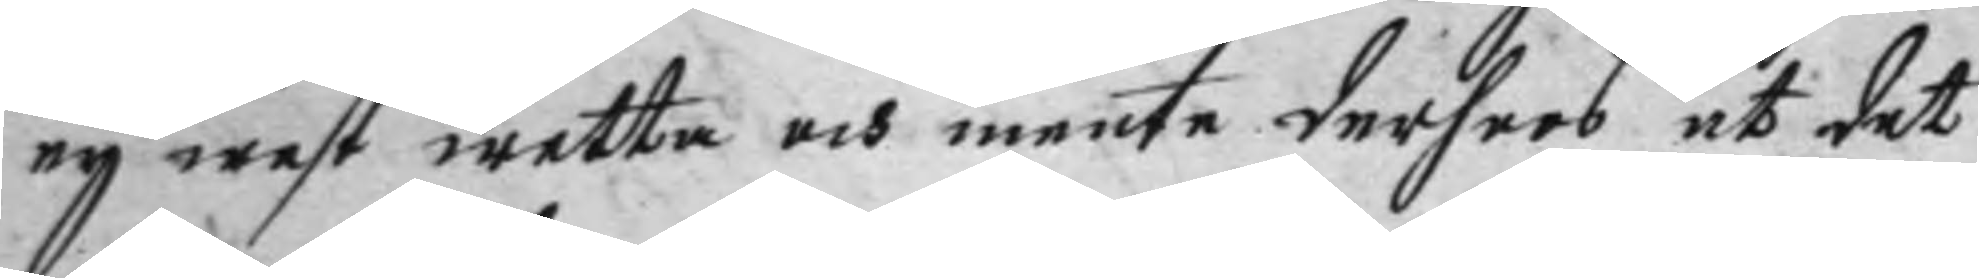ey west wetta och mente derhoos at det
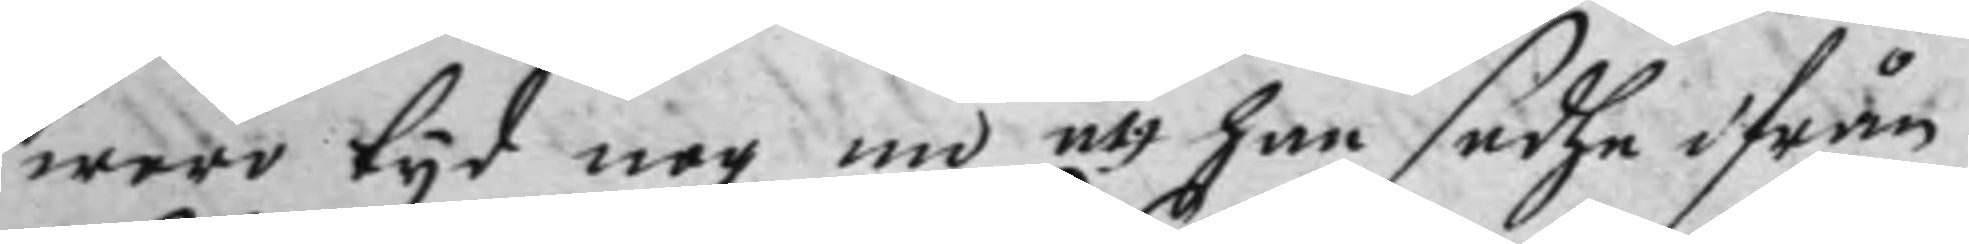woro tyd nog nu att han safhe ifrån
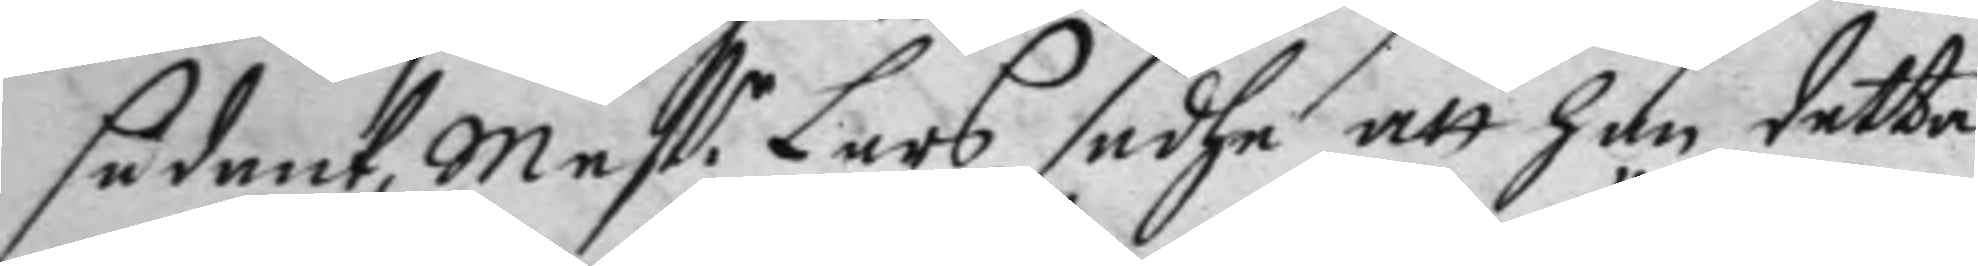sådant, Mest:r Lars sadhe att han detta
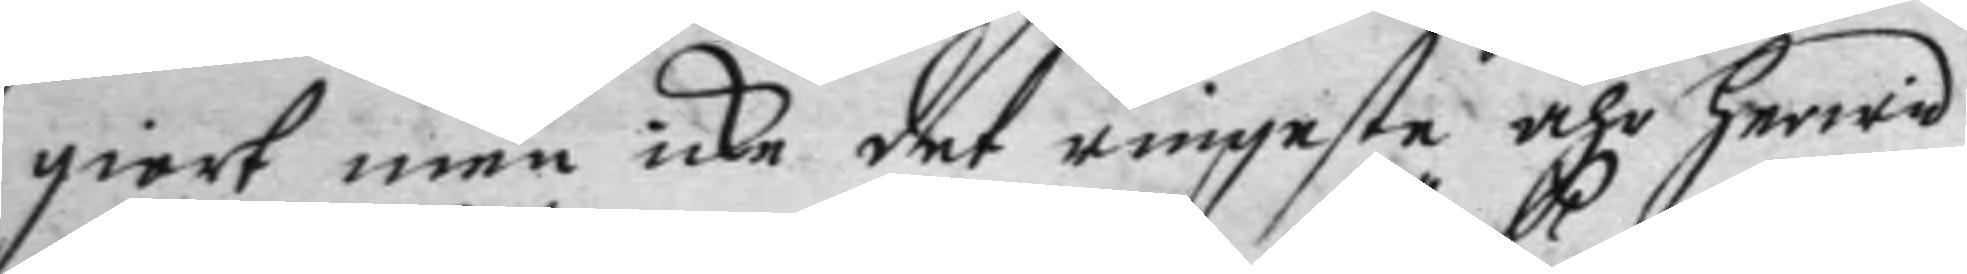giort men icke det ringaste ähr herwid
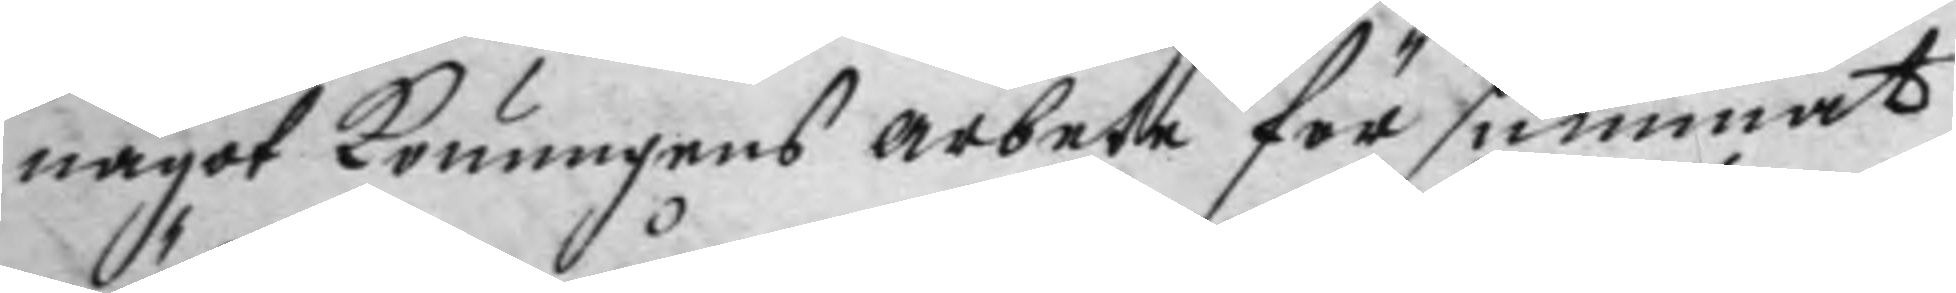något konungens arbete för summat
